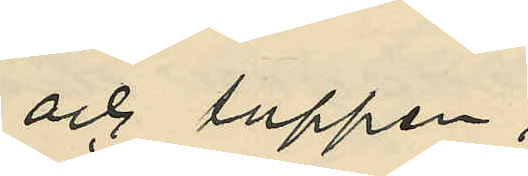och tuppen;
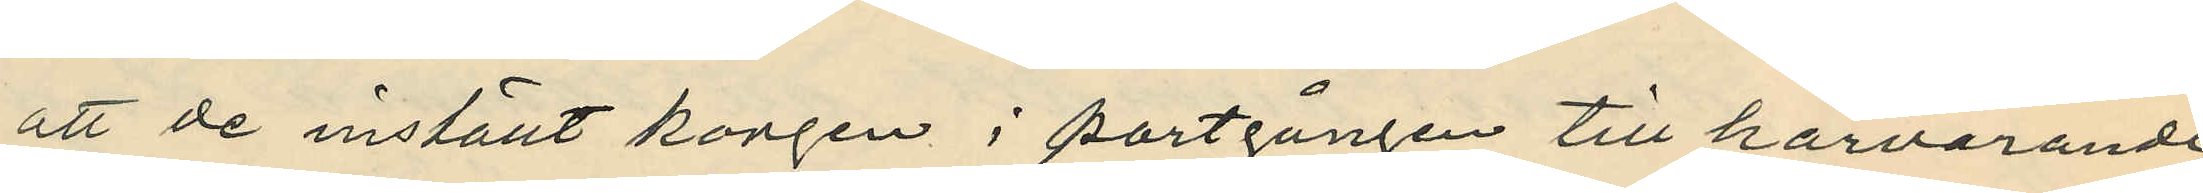att de inställt korgen i portgången till härvarande
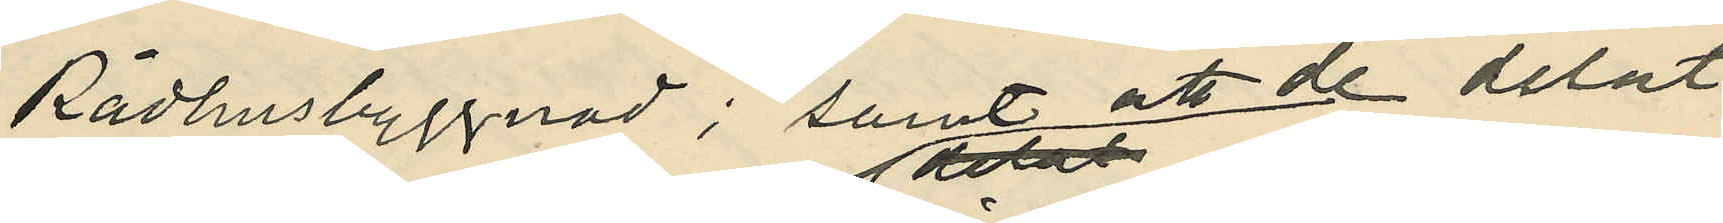Rådhusbyggnad; samt att de delat
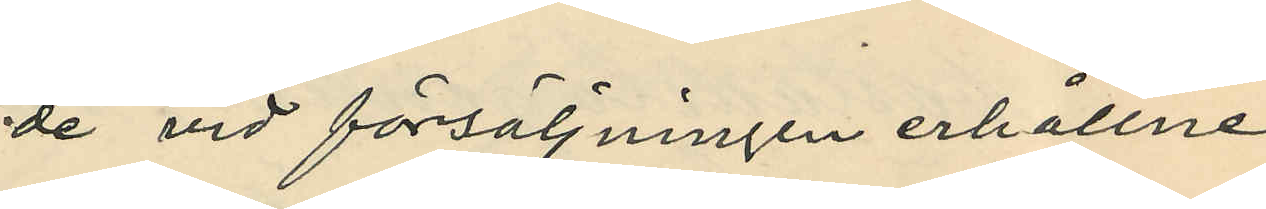de vid försäljningen erhållne
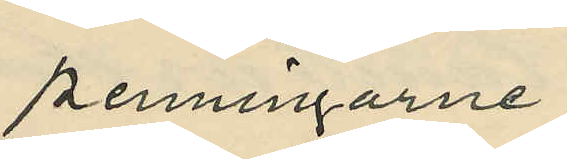penningarne;
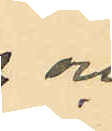och
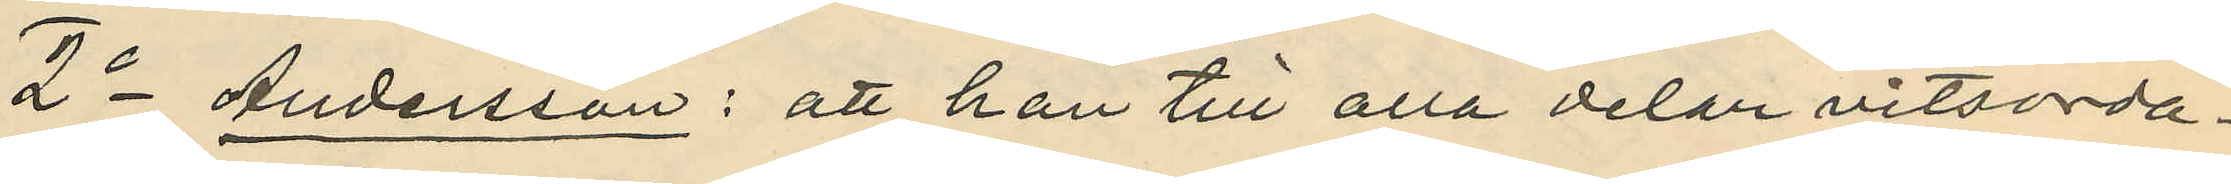2o Andersson: att han till alla delar vitsorda¬
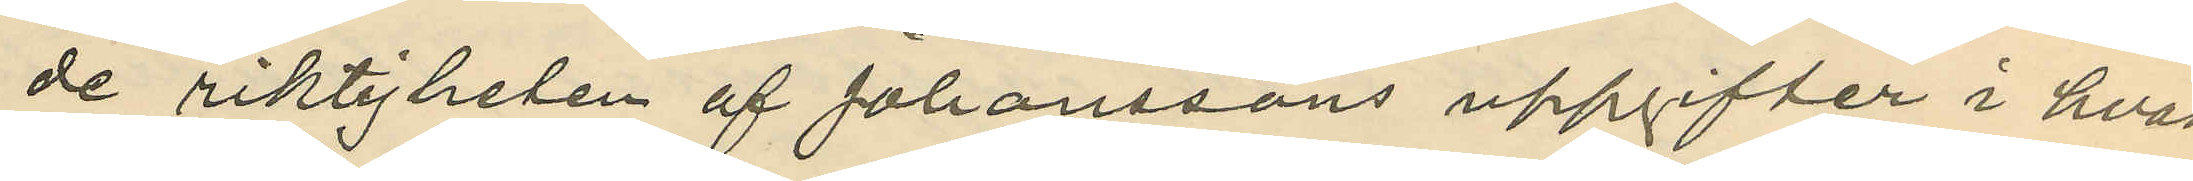de riktigheten af Johanssons uppgifter i hvad
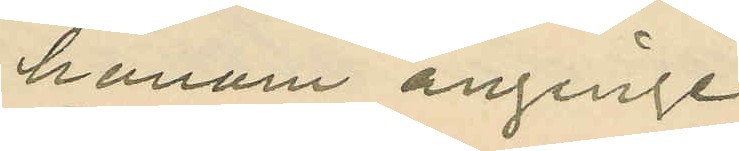honom anginge.
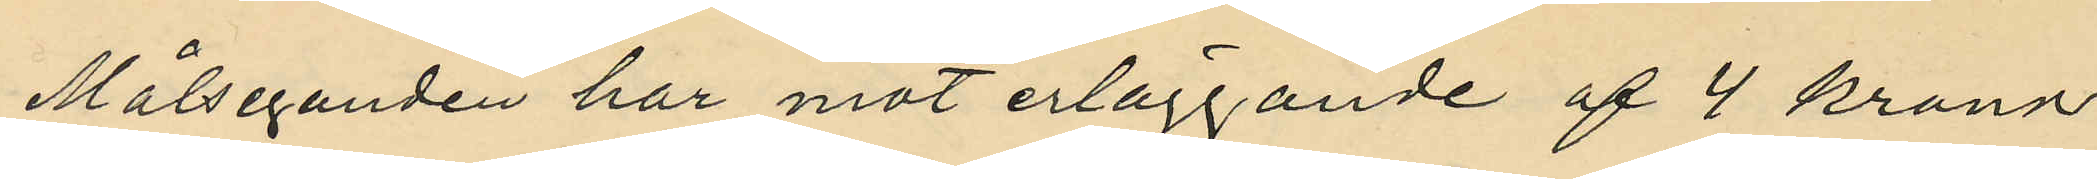Målseganden har mot erläggande af 4 kronor
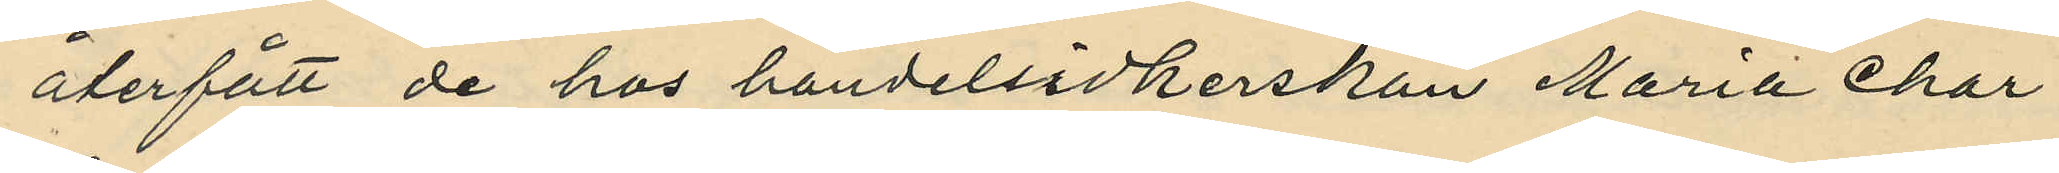återfått de hos handelsidkerskan Maria Char¬
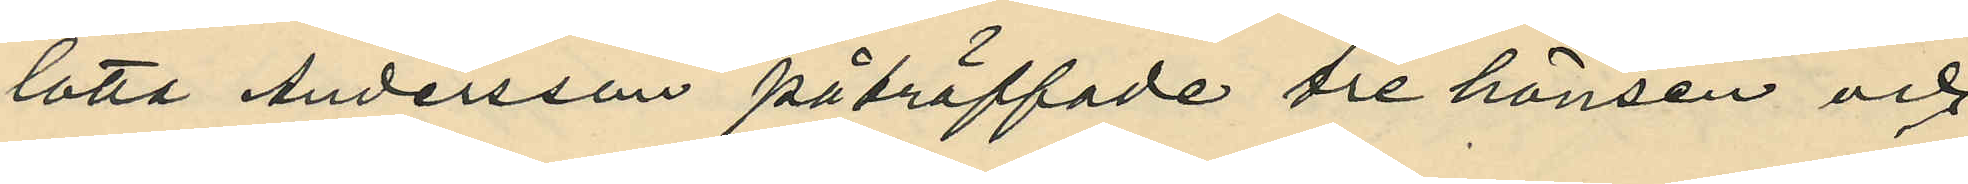lotta Andersson påträffade tre hönsen och
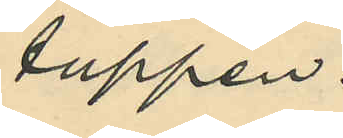tuppen.
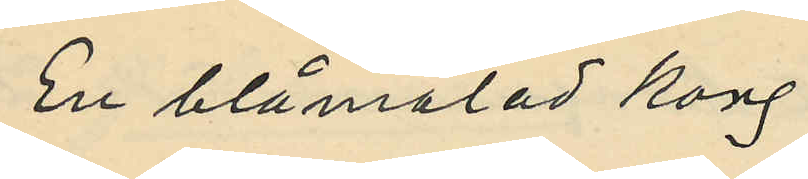En blåmålad korg
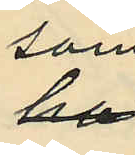som
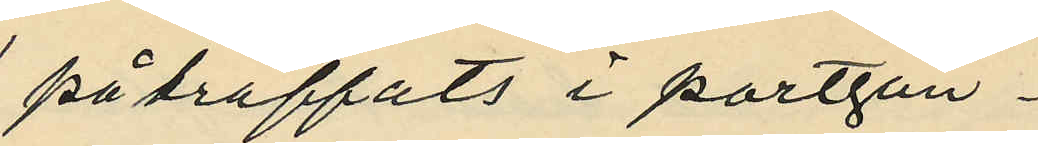på träffats i portgån¬
